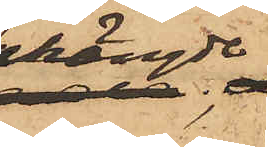hängde;
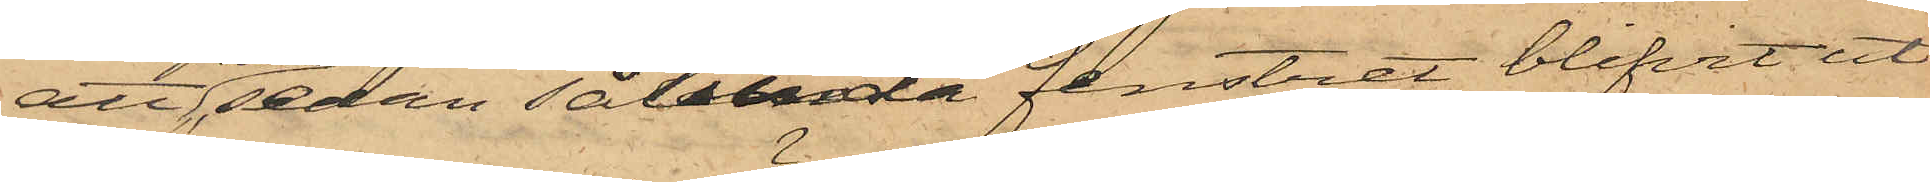att, sedan sålunda fenstret blifvit ut¬
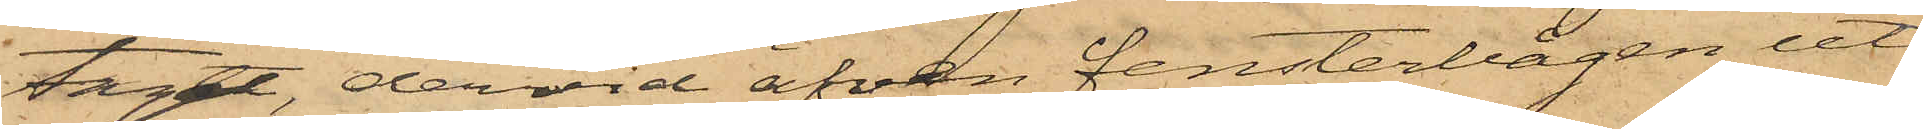taget, dervid äfven fensterbågen ut¬
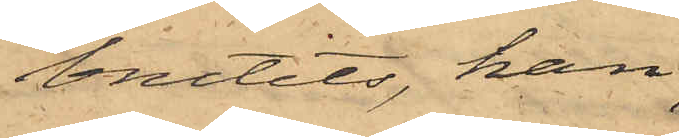brutits, han,
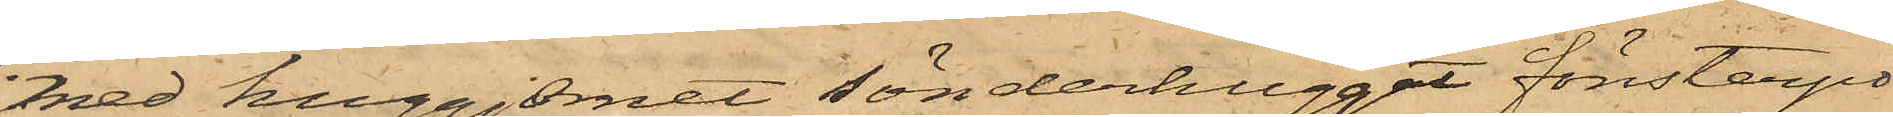med huggjernet sönderhugget fönsterpo¬
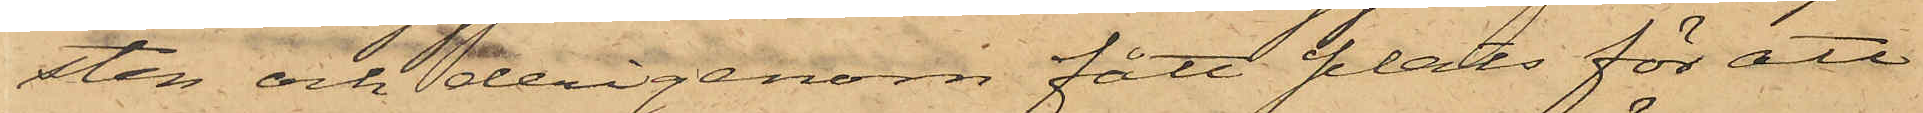sten och derigenom fått plats för att
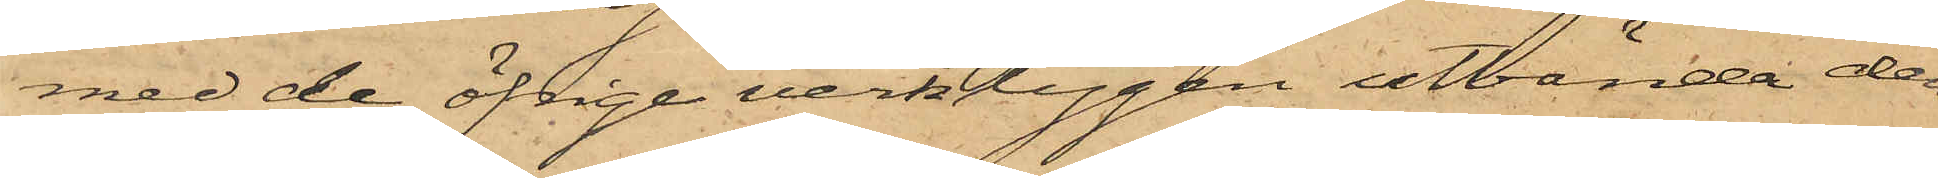med de öfrige verktygen utbända den
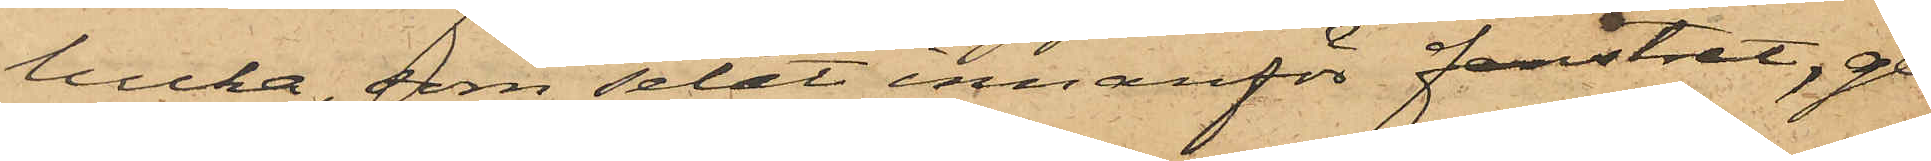lucka, som setat innanför fenstret, ge¬
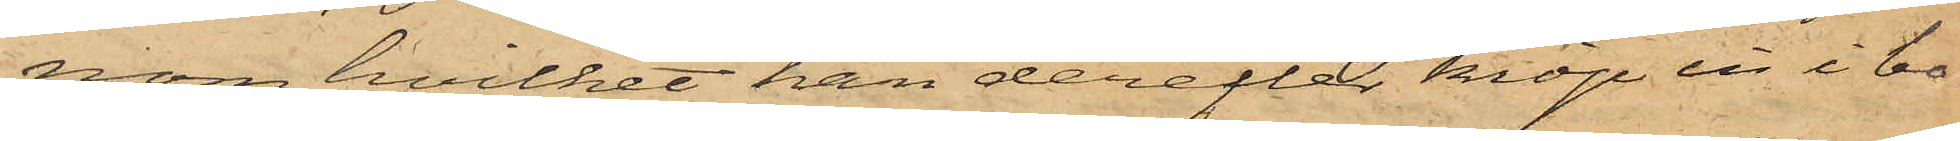nom hvilket han derefter kröp in i bo¬
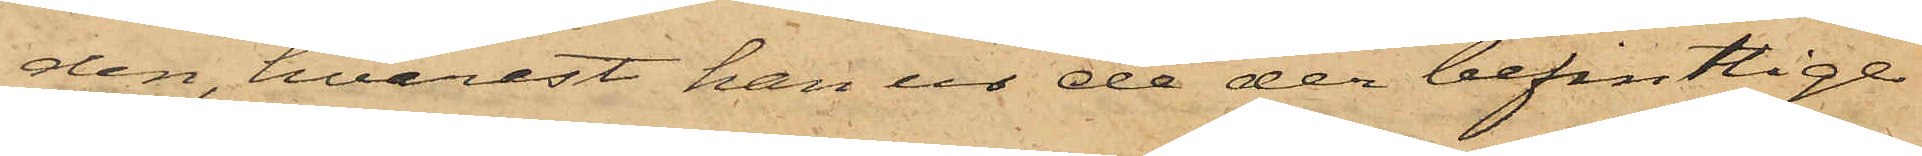den, hvarest han ur de der befintlige
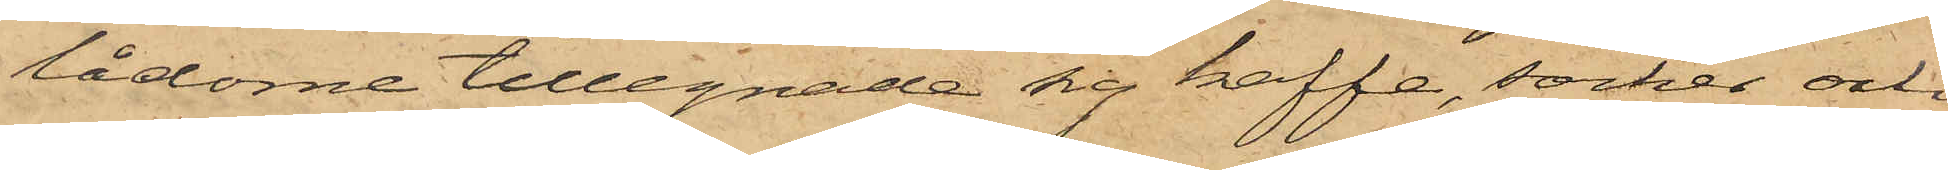lådorne tillegnade sig kaffe, socker och
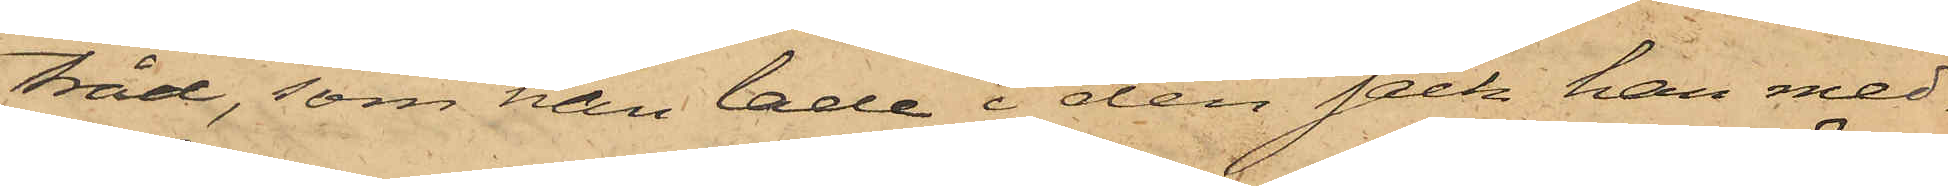tråd, som han lade i den säck han med¬
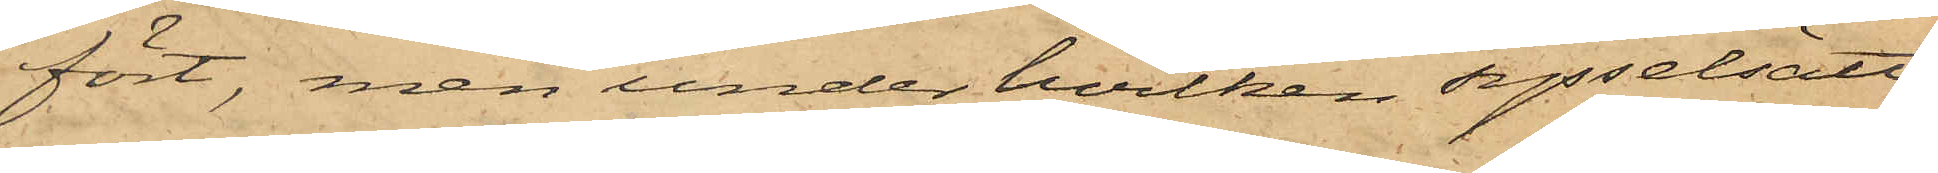fört, men under hvilken sysselsätt¬
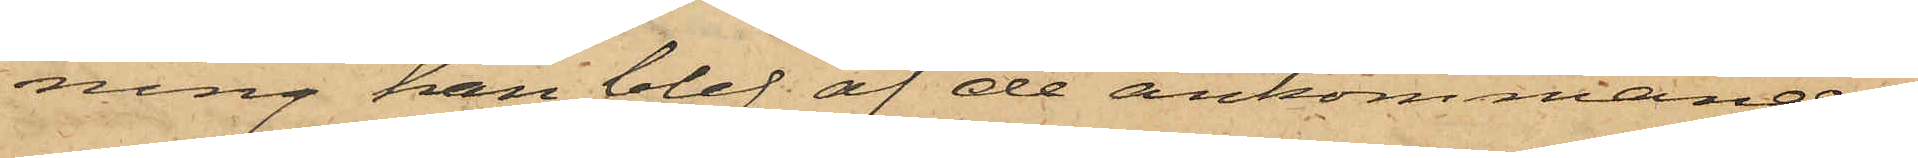ning han blef af de ankommande
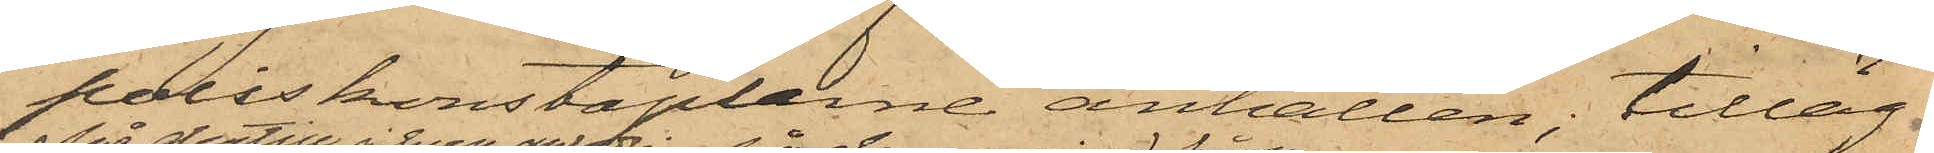poliskonstaplarne anhållen; tilläg¬
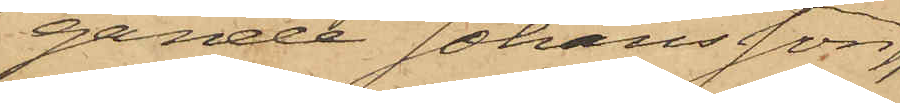gande Johansson,
